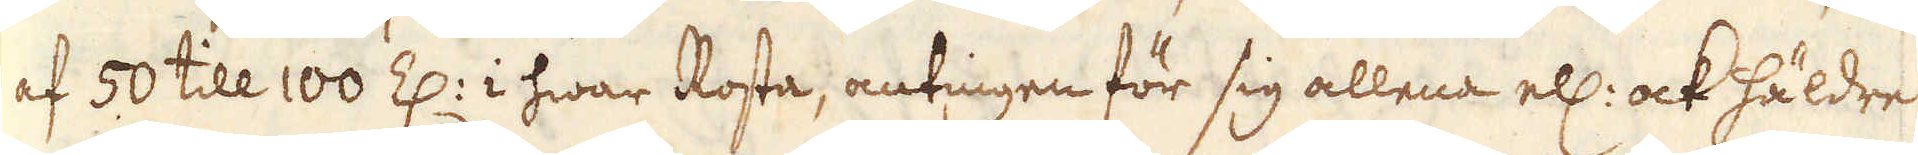af 50 till 100 Z: i hwar Rosta, antingen för sig allena ell: ock häldre
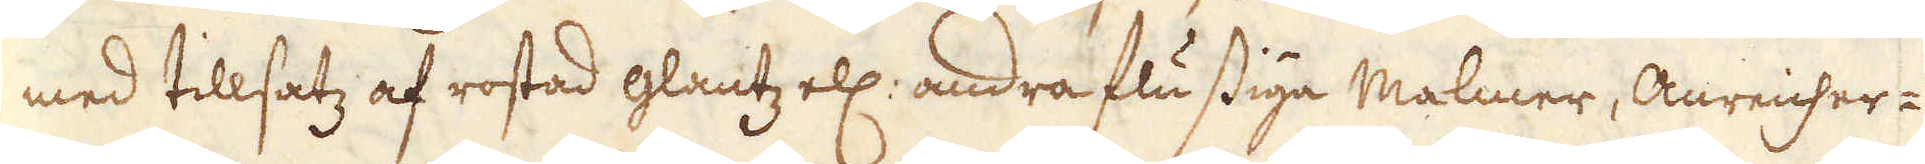med tillsatz af rostad glantz ell: andra flussiga Malmer, Anreicher-
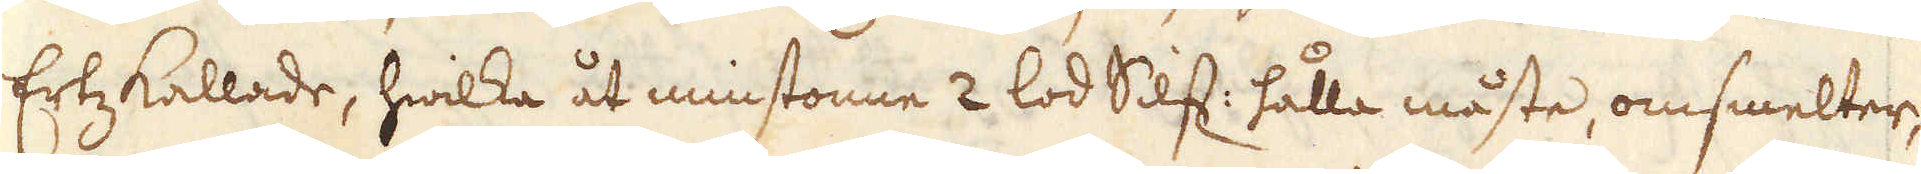Ertz kallade, hwilka åt minstonne 2 lod Silf: hålla måste, omsmelter,
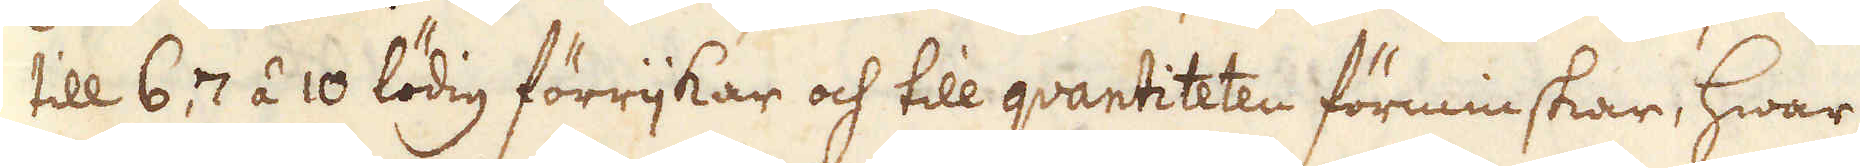till 6, 7 á 10 lödig förrijkar och till quantiteten förminskar, hwar
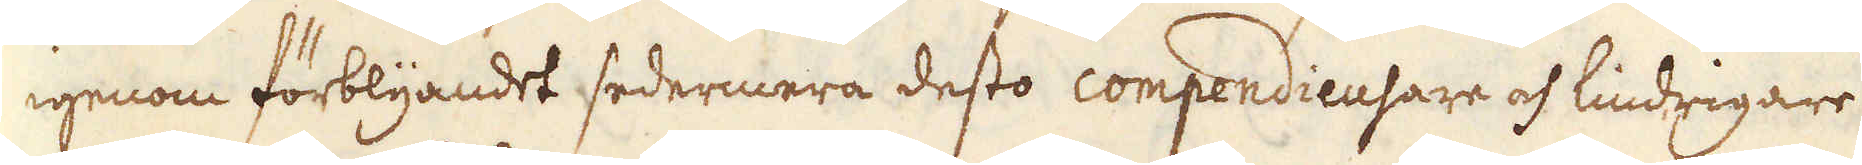igenom förblyandet sedermera desto compendieusare och lindrigare
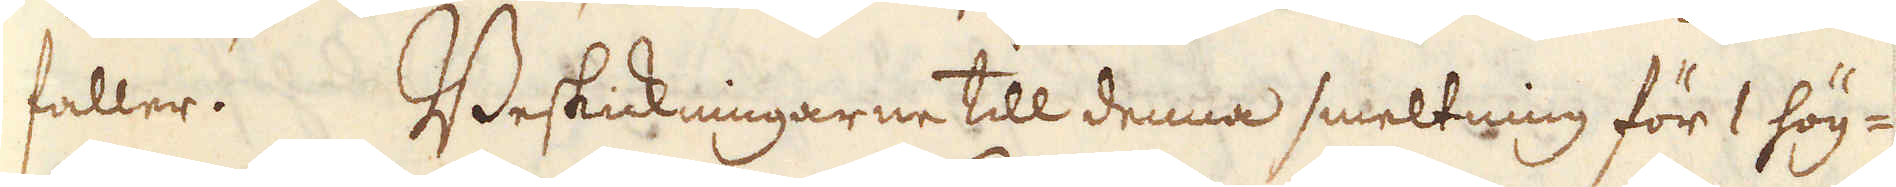faller. Beskickningarne till denna smeltning för 1 hög-
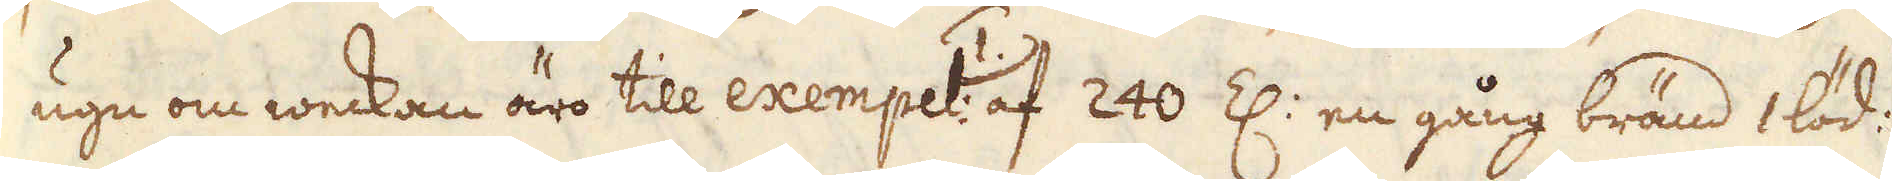ugn om weckan äro till exempel: 1.) af 240 Z: en gång bränd 1 löd:
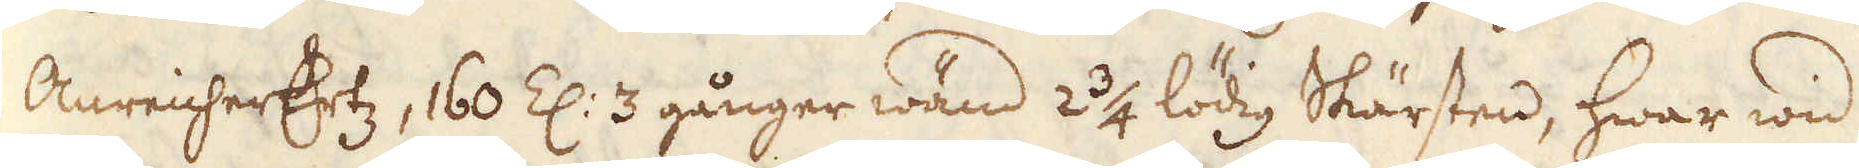AnreicherErtz, 160 Z: 3 gånger wänd 2 3/4 lödig Skärsten, hwar wid
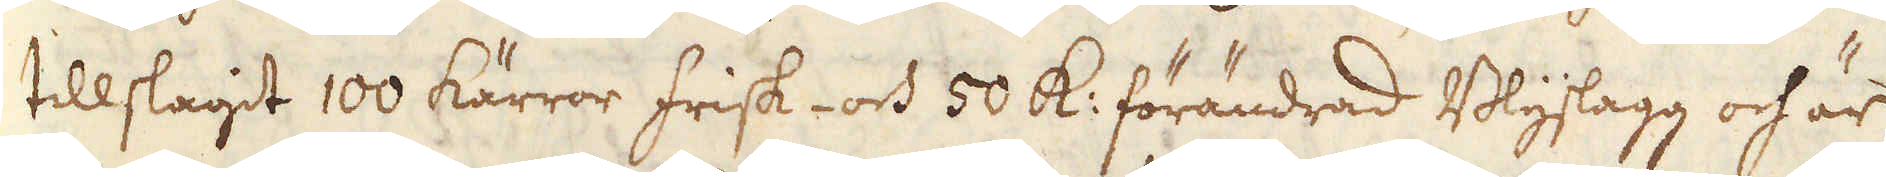tillslagidt 100 kärror frisk- och 50 k: förändrad Blyslagg och är
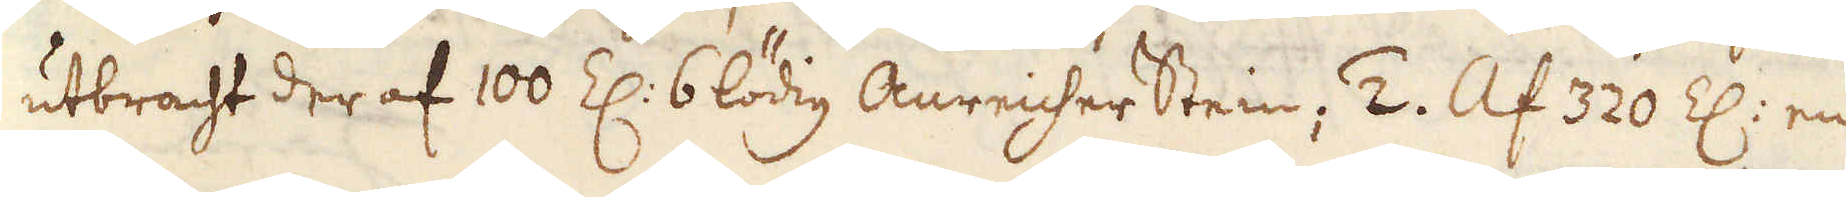utbracht der af 100 Z: 6 lödig Anreicher Stein; 2. Al 320 Z: en
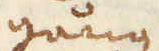gång
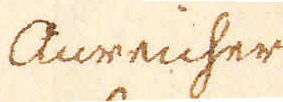Anreicher
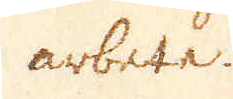arbete.
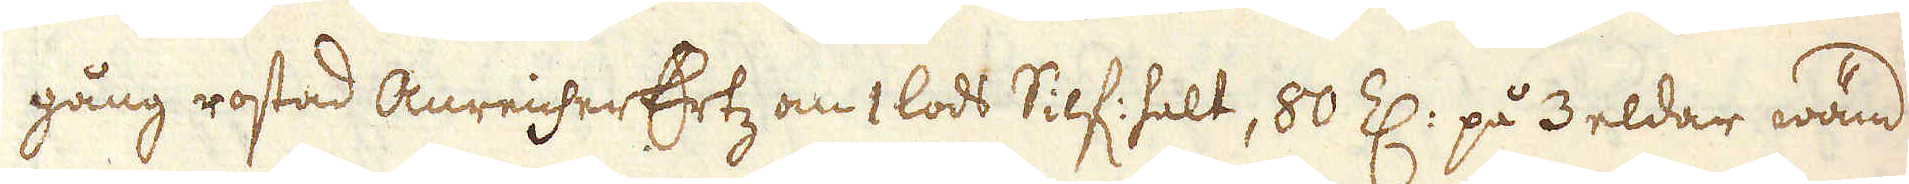gång rostad AnreicherErtz om 1 lods Silf: halt, 80 Z: på 3 eldar wänd
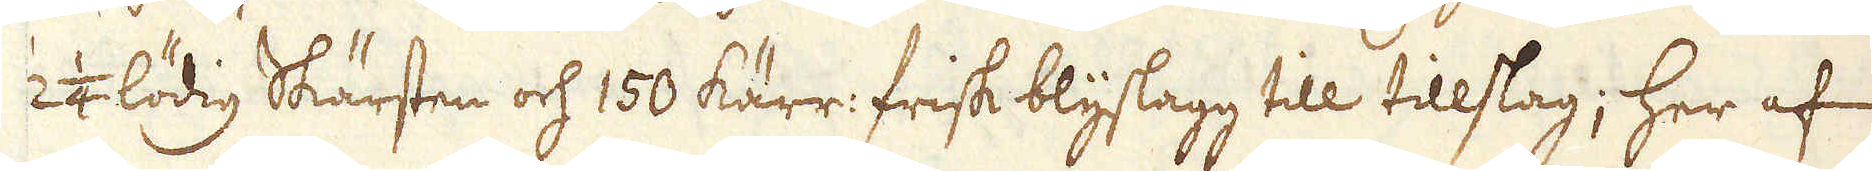2 1/4 lödig Skärsten och 150 kärr: frisk blyslagg till tillslag; her af
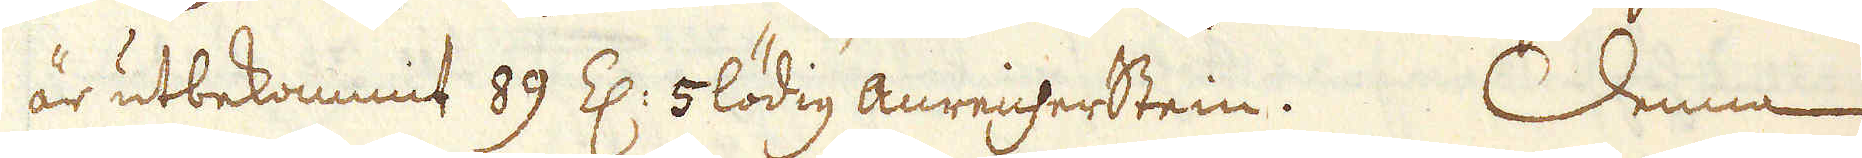är utbekommit 89 Z: 5 lödig AnreicherStein. Denna
